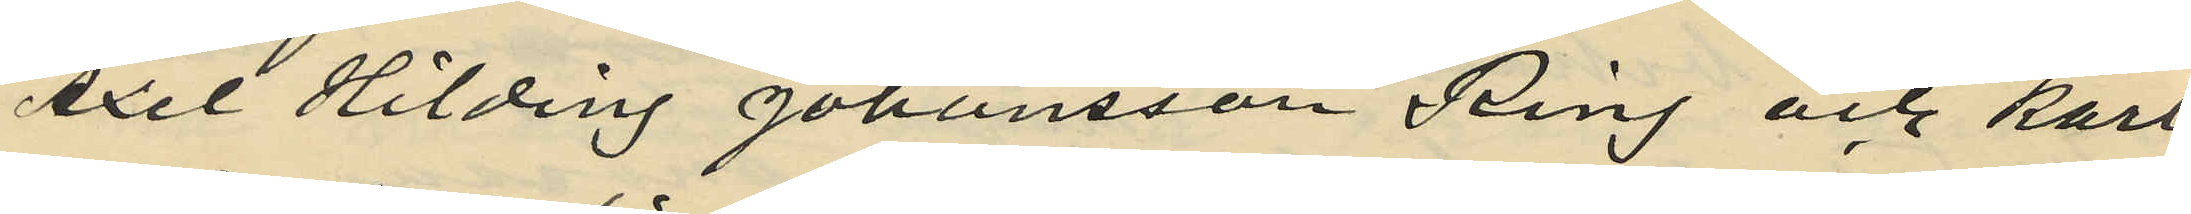Axel Hilding Johansson Ring och Karl
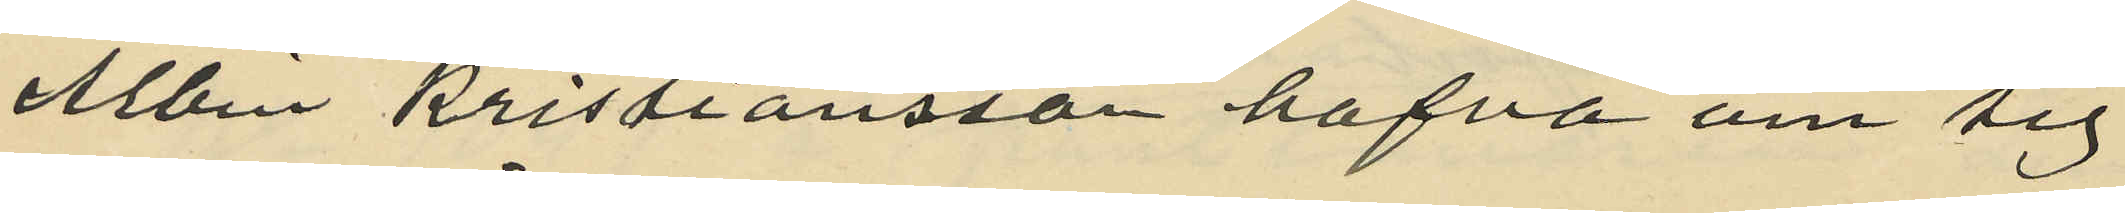Albin Kristiansson hafva om sig
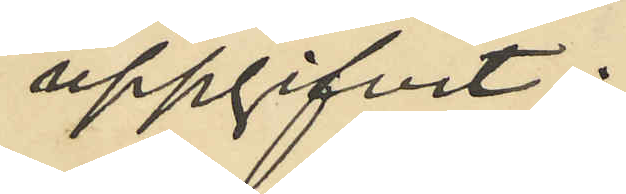uppgifvit:
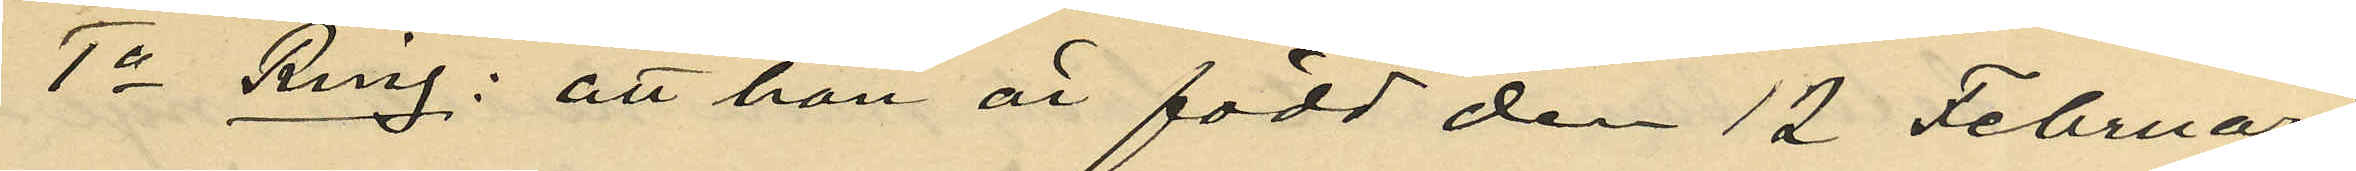1o Ring: att han är född den 12 Februari
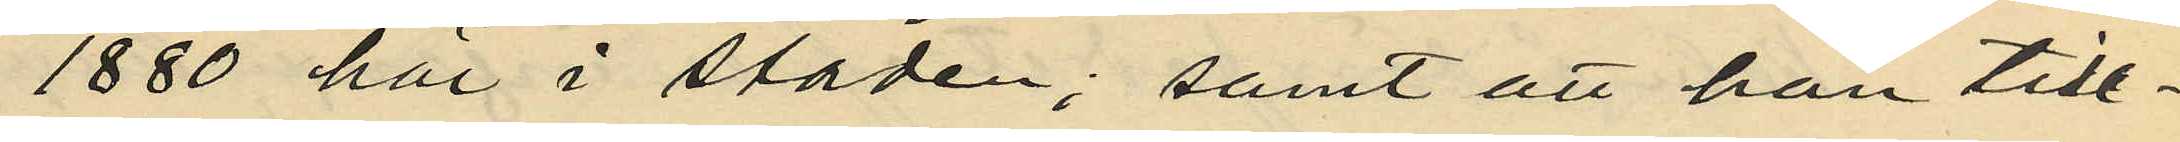1880 här i staden; samt att han till¬
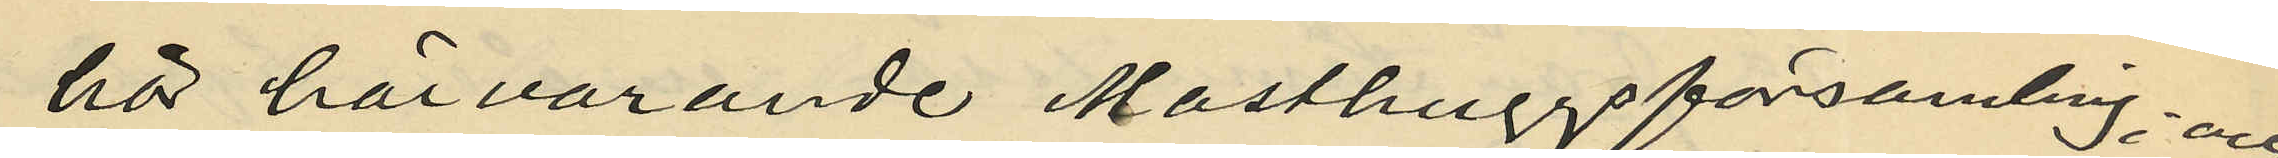hör härvarande Masthuggsförsamling; och
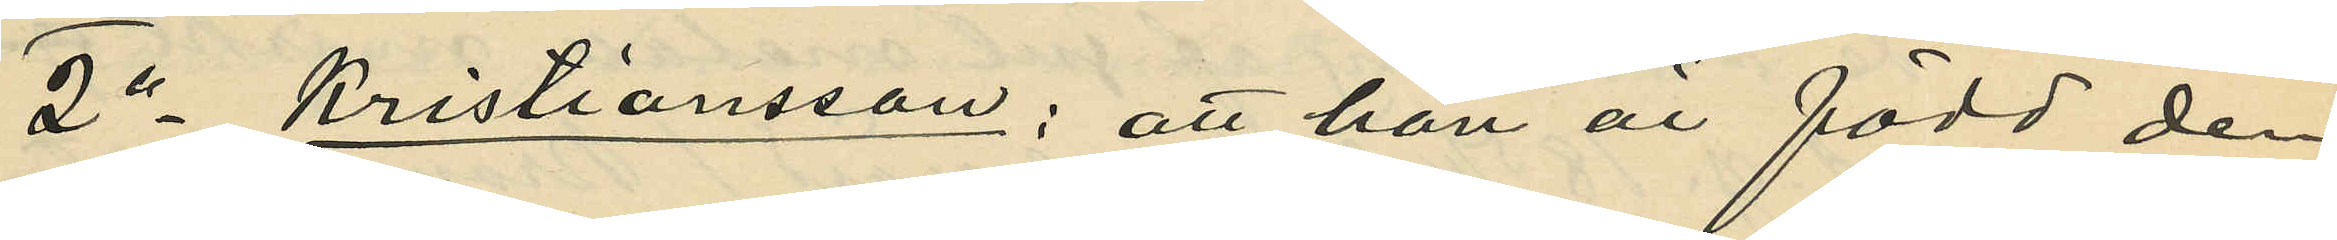2o Kristiansson: att han är född den
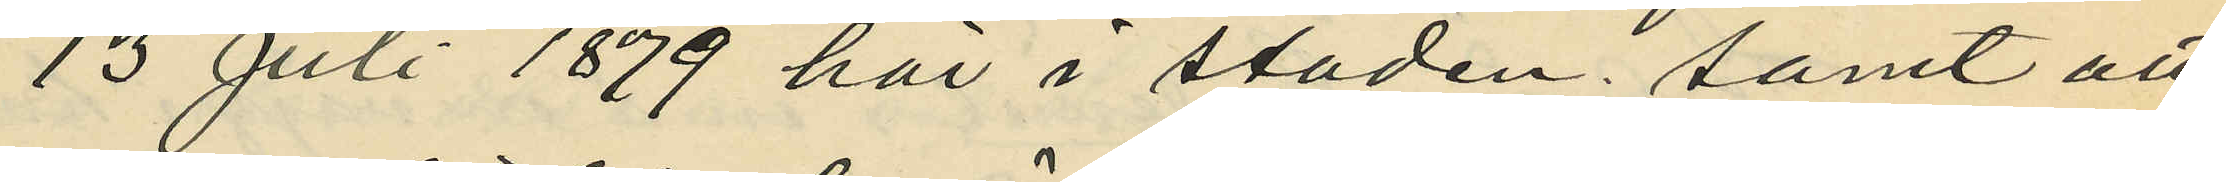13 Juli 1879 här i staden; samt att
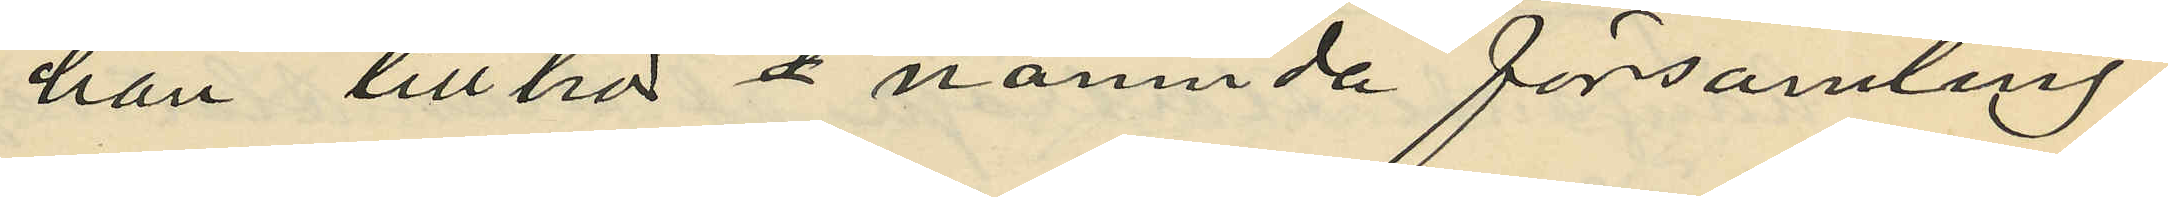han tillhör å nämnda församling.
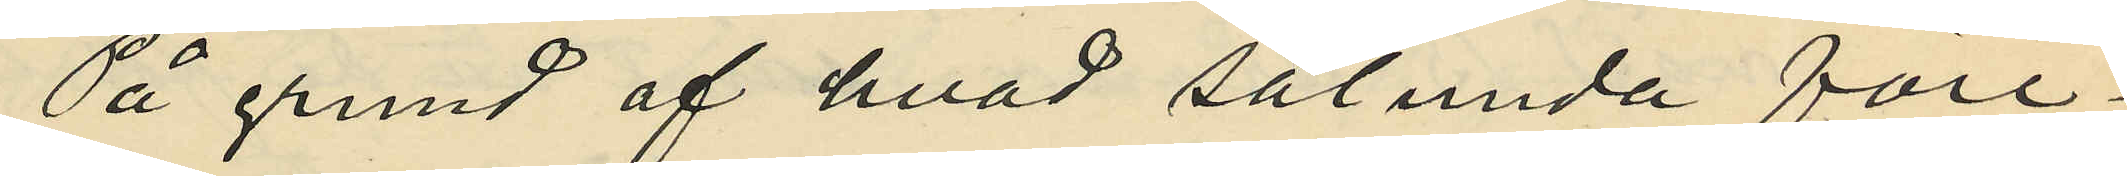På grund af hvad sålunda före¬
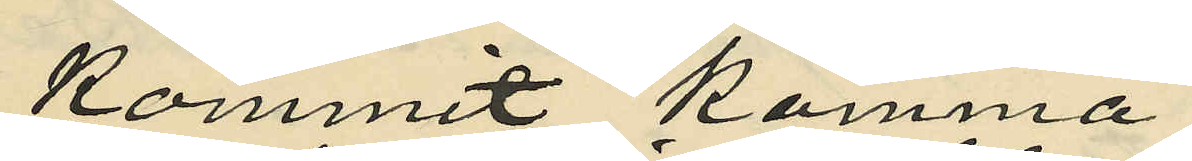kommit komma
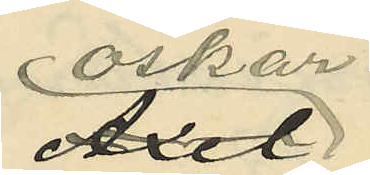Oscar
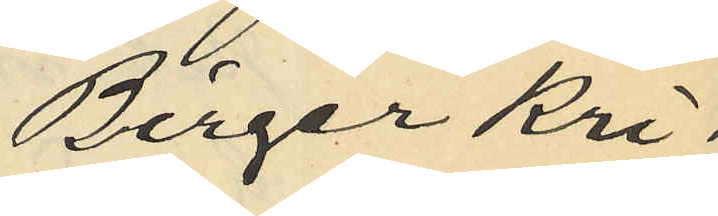Birger Kri¬
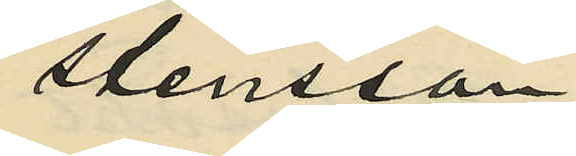stensson,
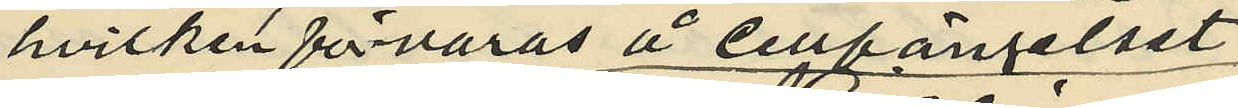hvilken förvaras å Cellfängelset,
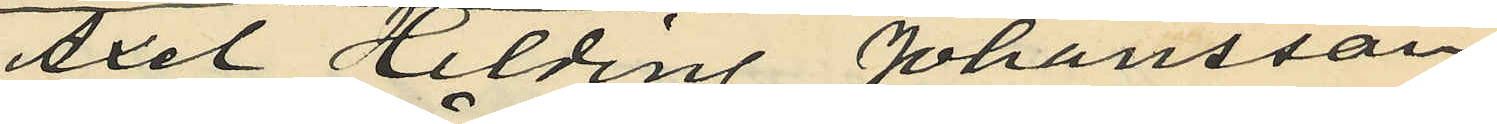Axel Hilding Johansson
